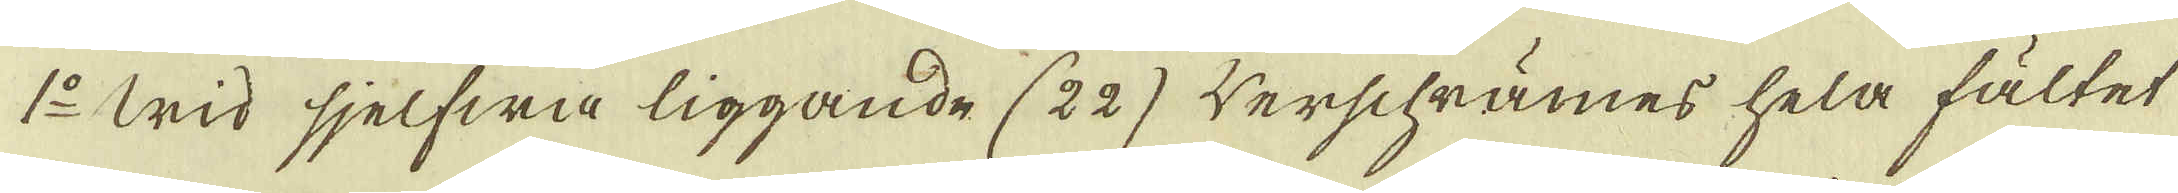1:o Wid sjelfwa liggande (22) werschrämes hela fältet
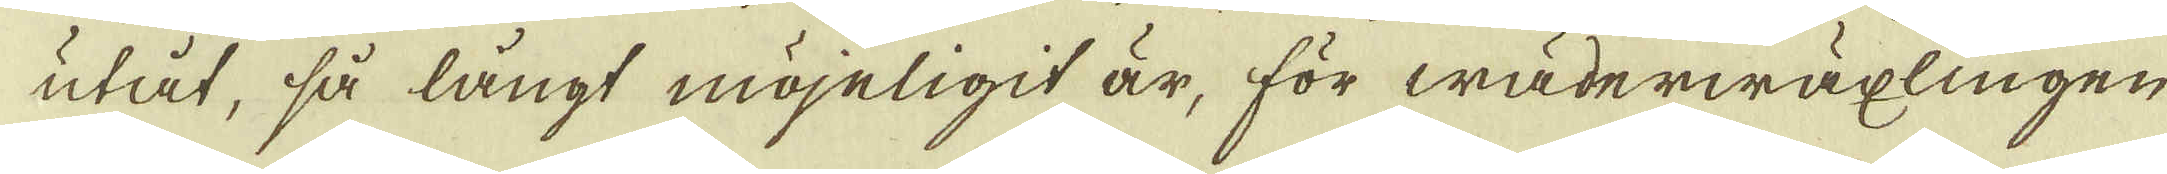utåt, så långt möjeligit är, för wäderwäxlingen
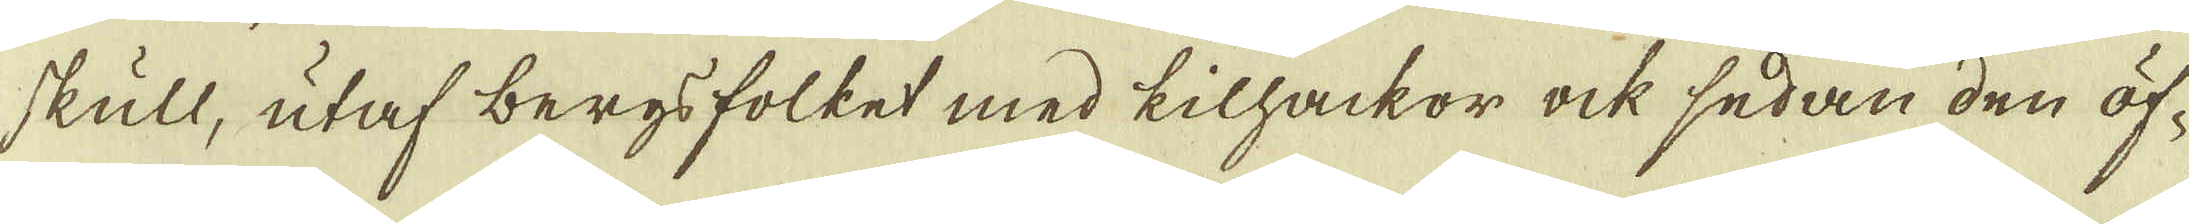skull, utaf bergsfolket med kilhackor ock sedan den öf-
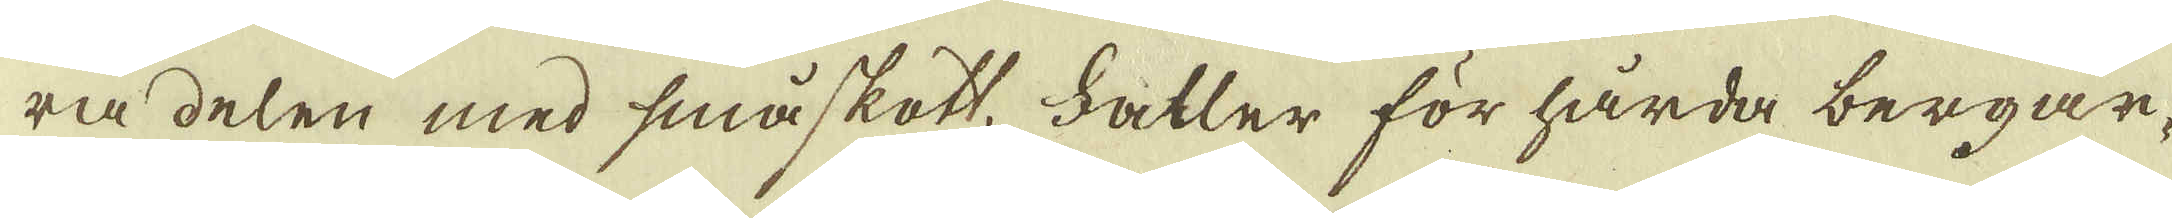ra delen med småskott. Faller för hårda bergar-
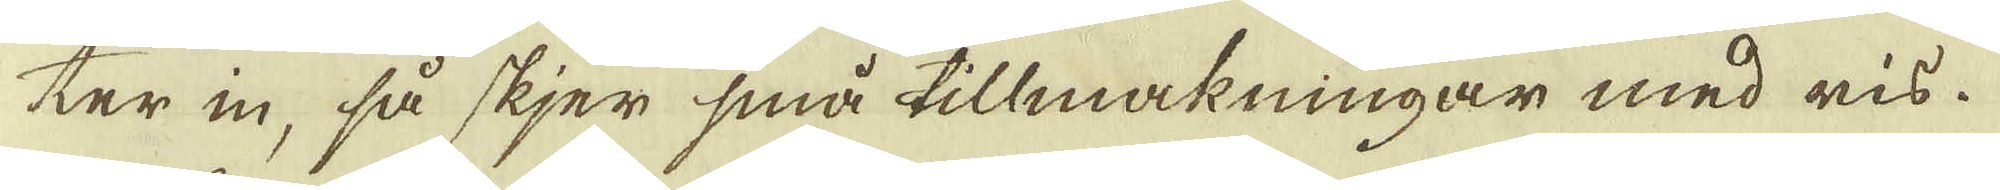ter in, så skjer små tillmakningar med ris.
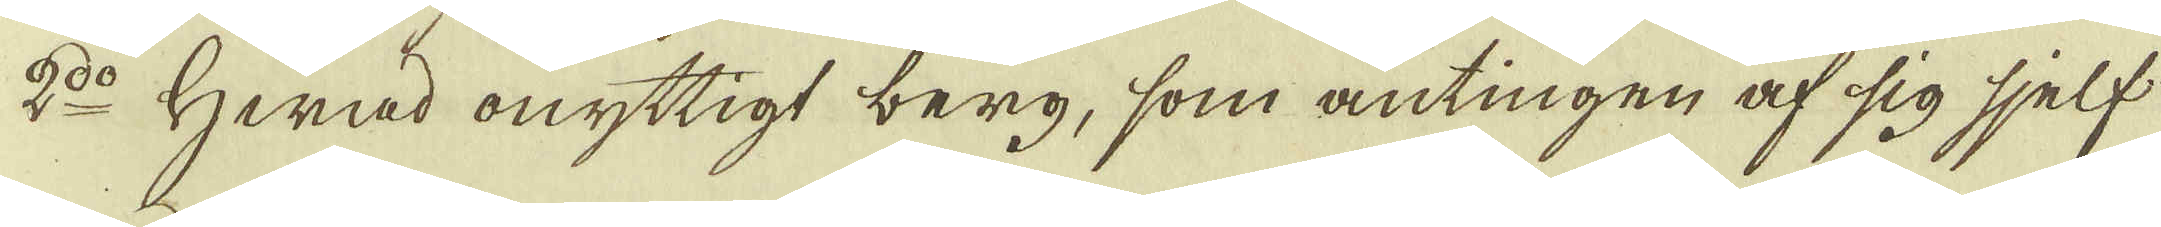2:o Hwad onyttigt berg, som antingen af sig sjelf
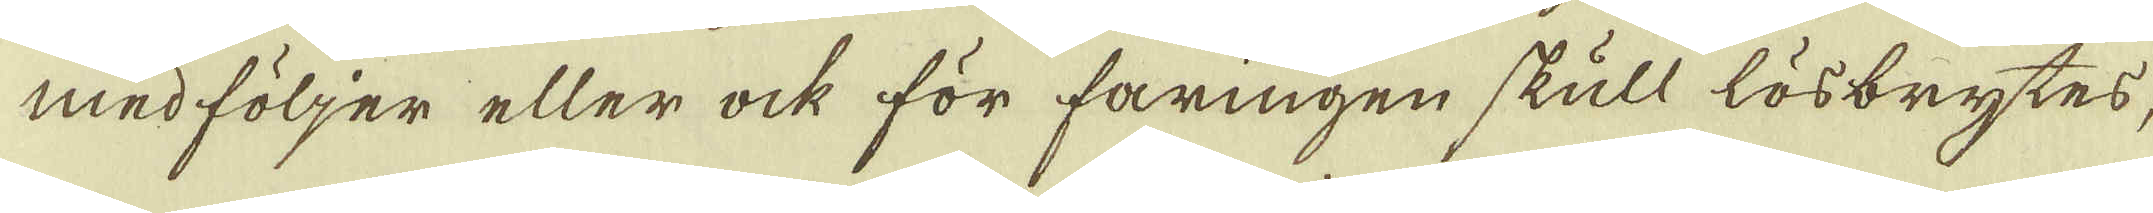med följer eller ock för faringen skull lösbrytes,
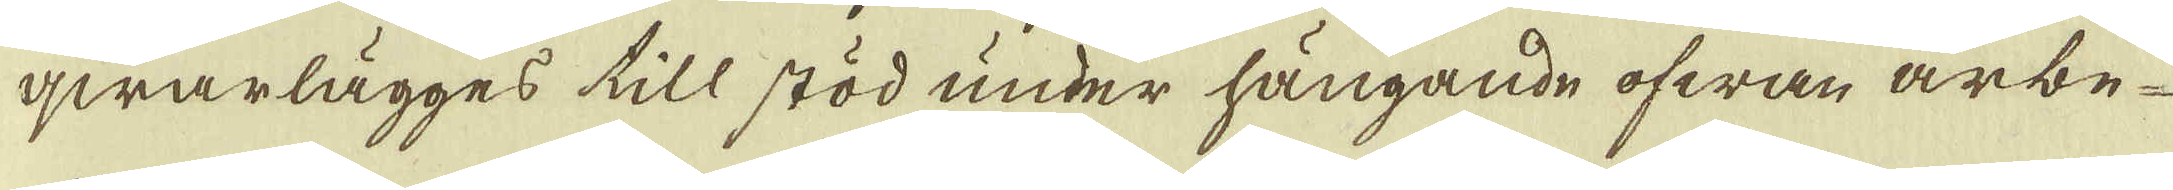qwarlägges till stöd under hängande ofwan arbe-
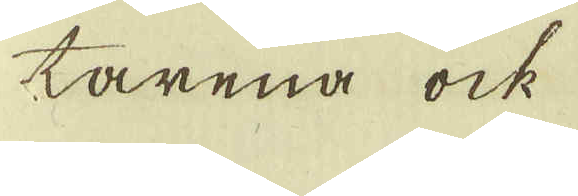tarena ock
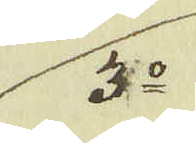3:o
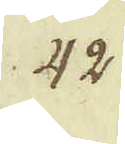42.
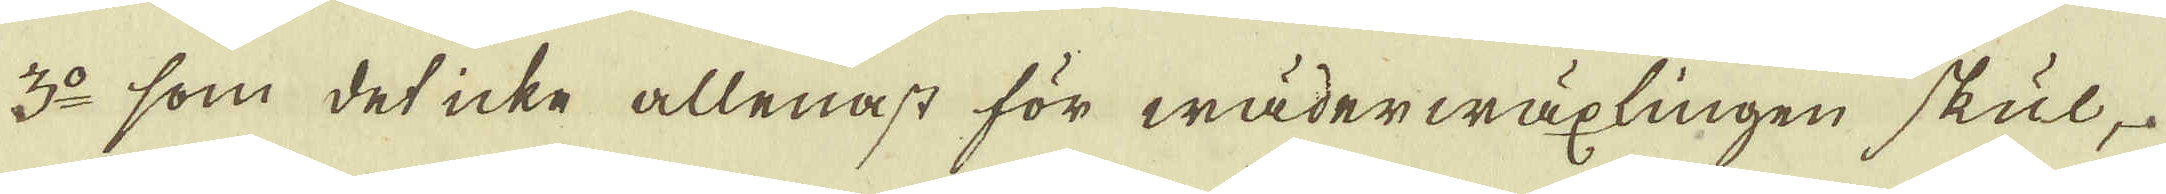3:o som det icke allenast för wäderwäxlingen skul,
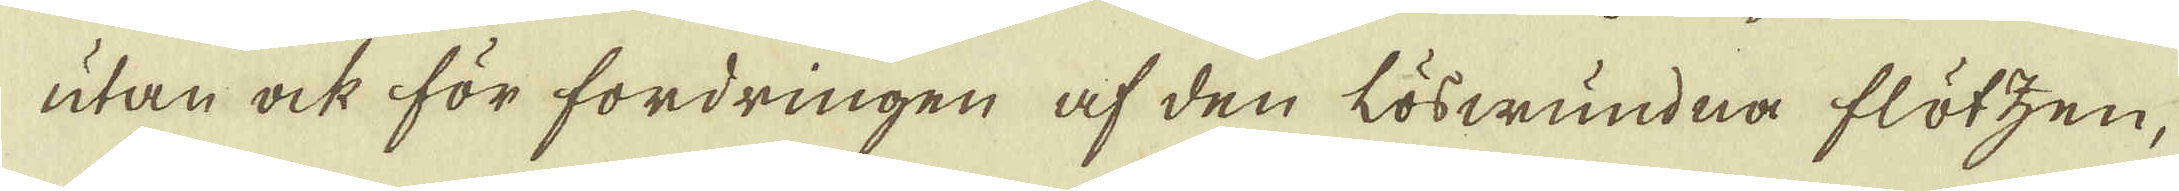utan ock för fordringen af den löswundna flötzen,
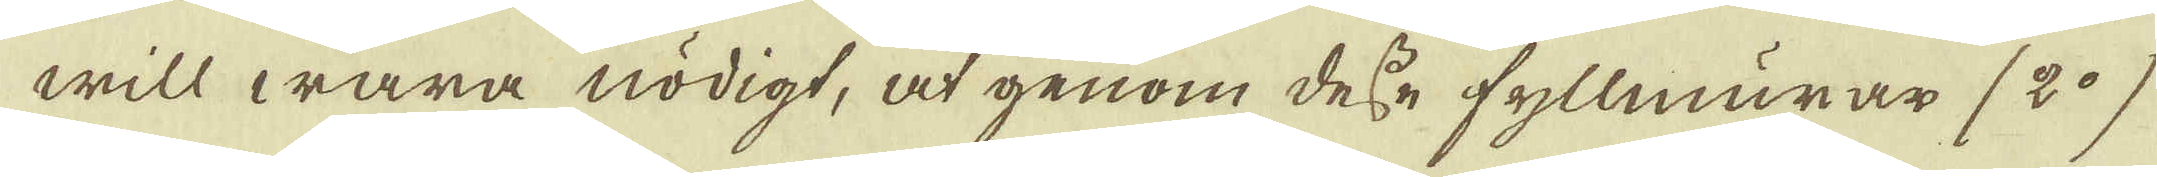will wara nödigt, at genom desse fyllmurar (2:o)
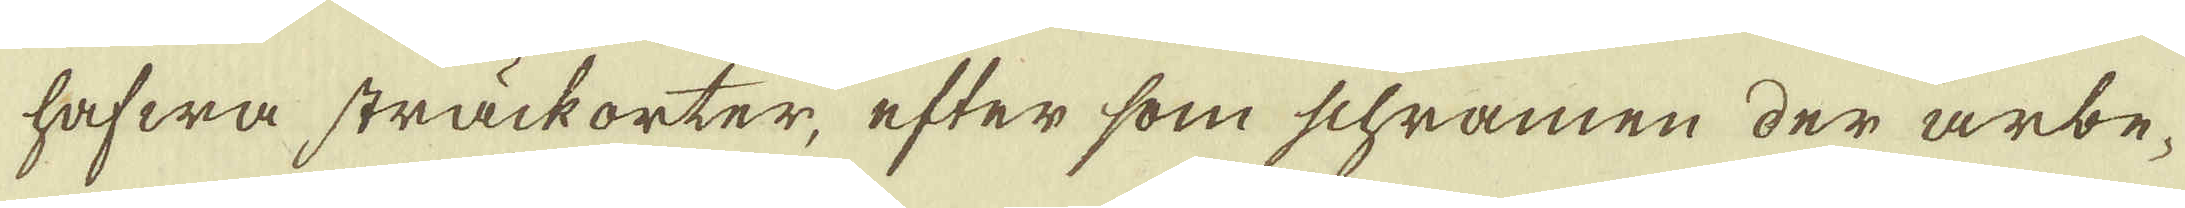hafwa sträckorter, efter som schramen der arbe-
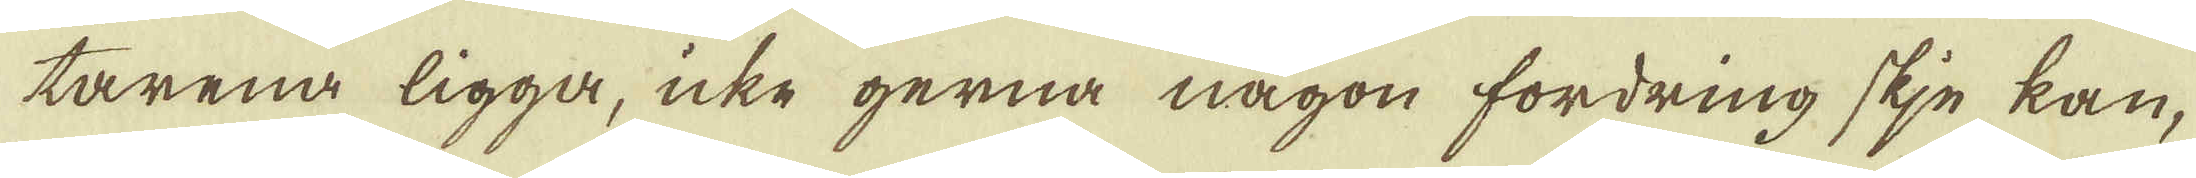tarena ligga, icke gerna någon fordring skje kan,
